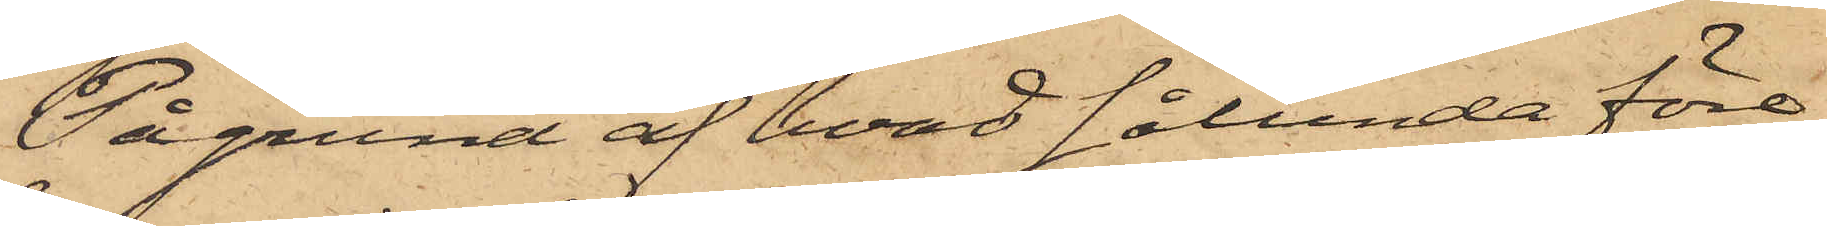På grund af hvad sålunda före¬
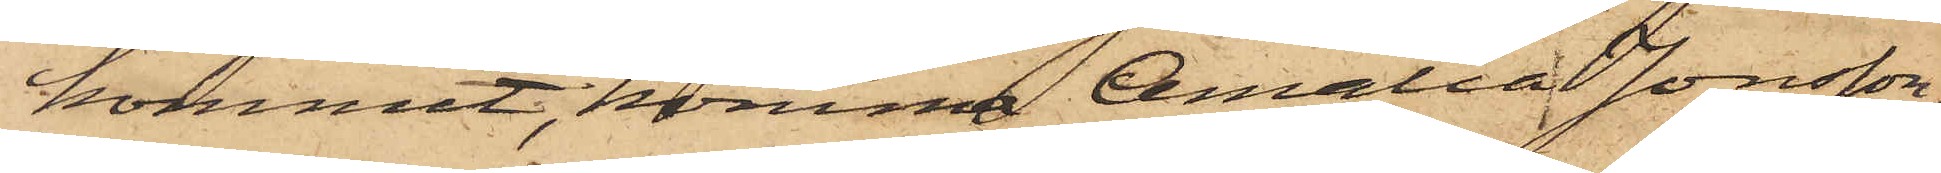kommit, komma Amalia Jonsson,
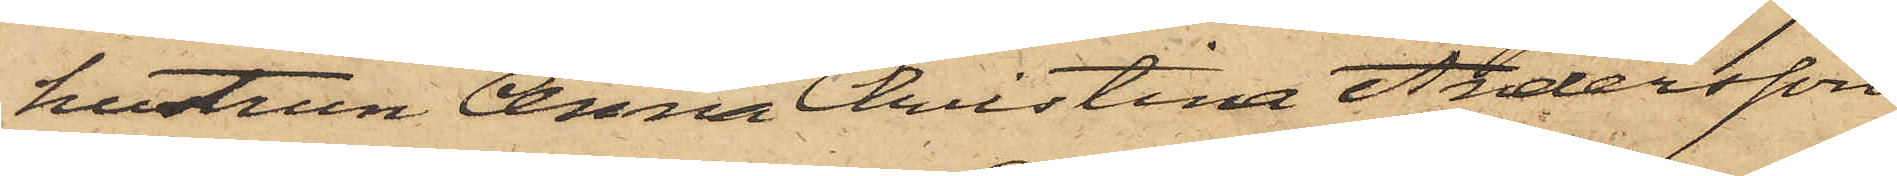hustrun Anna Christina Andersson
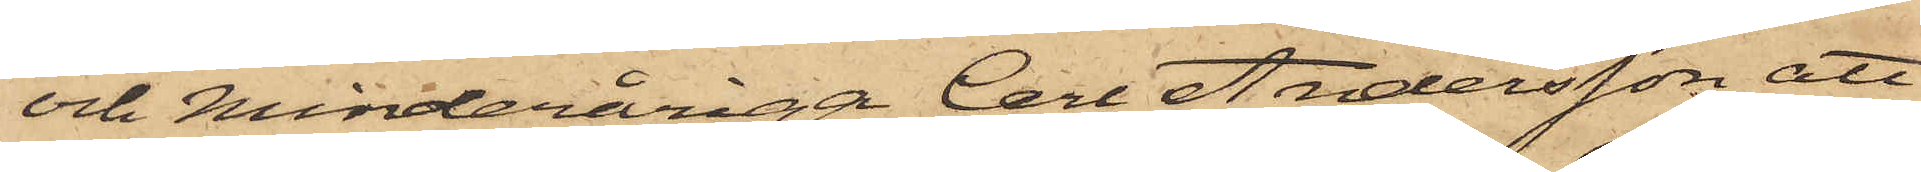och minderåriga Carl Andersson att
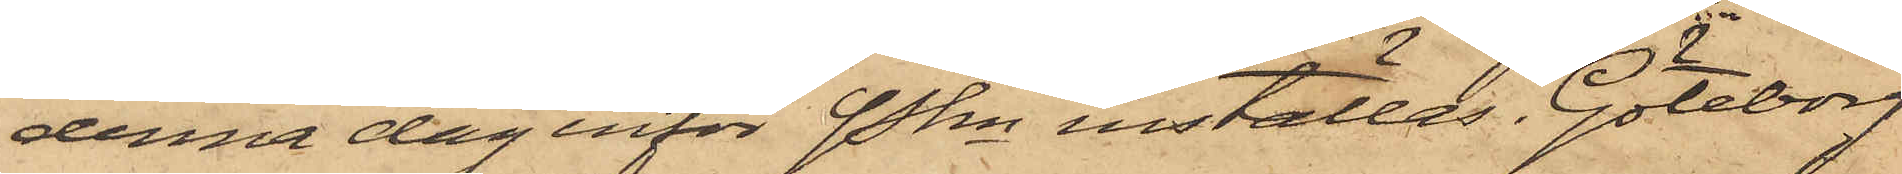denna dag inför Pkn inställas. Göteborg
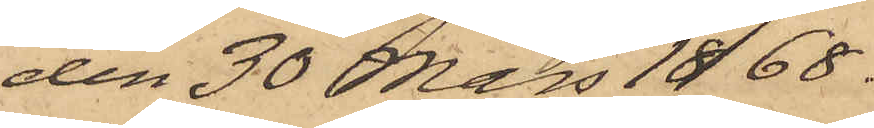den 30 Mars 1868.
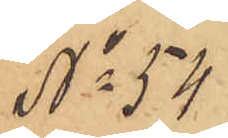No 54.
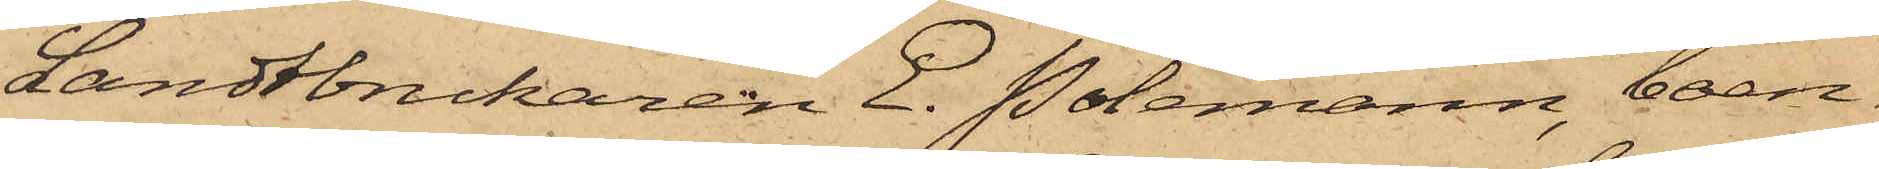Landtbrukaren E. Polemann, boen¬
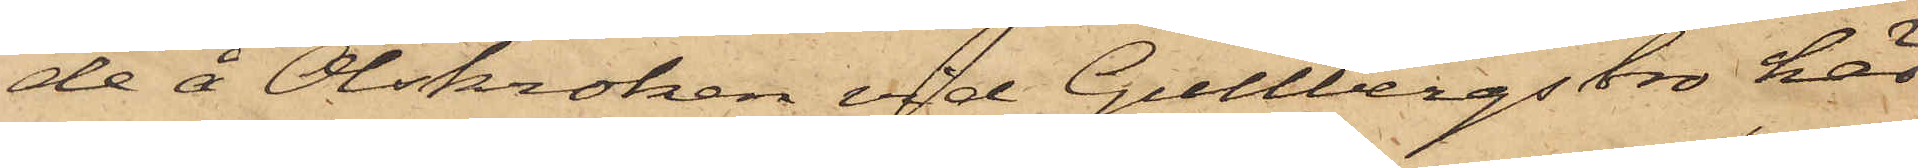de å Olskroken vid Gullbergs bro här
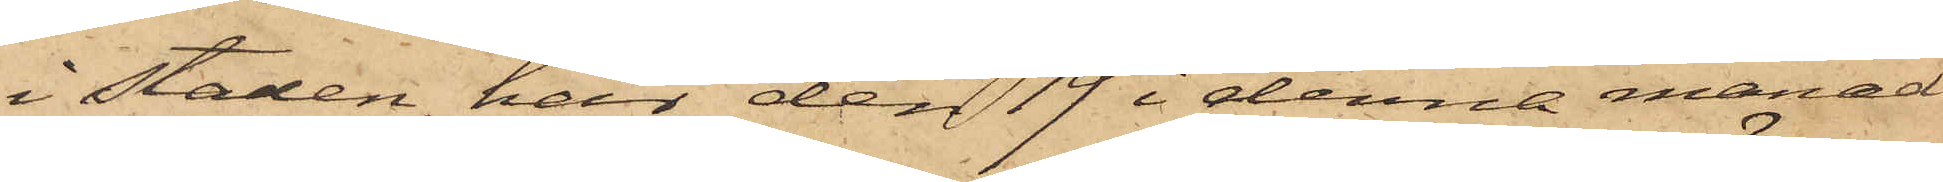i Staden, har den 19 i denna månad
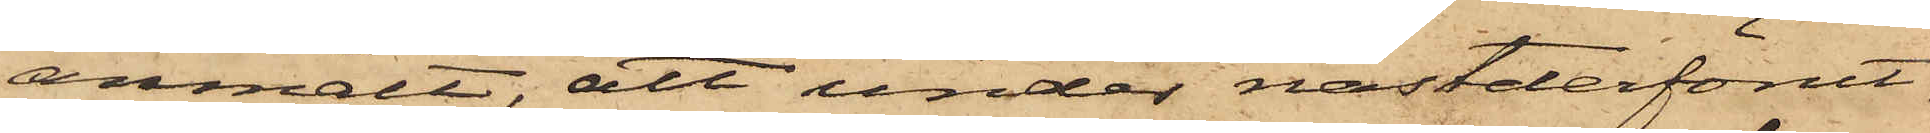anmält, att under nästderförut¬
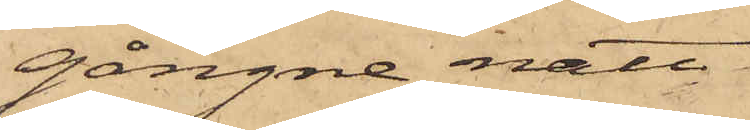gångne natt
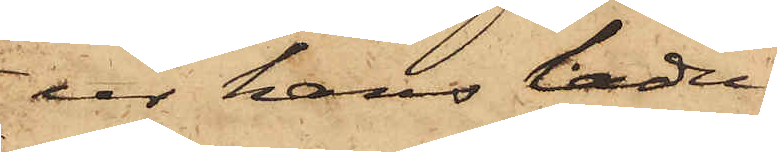ur hans ladu¬
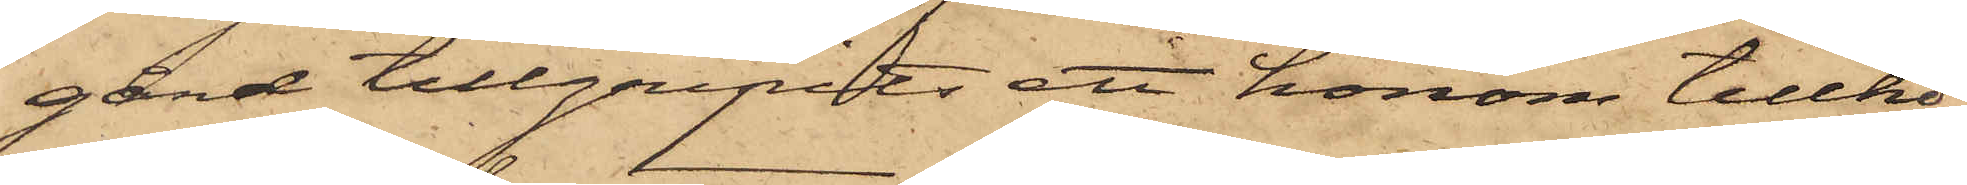gård tillgripits ett honom tillhö¬
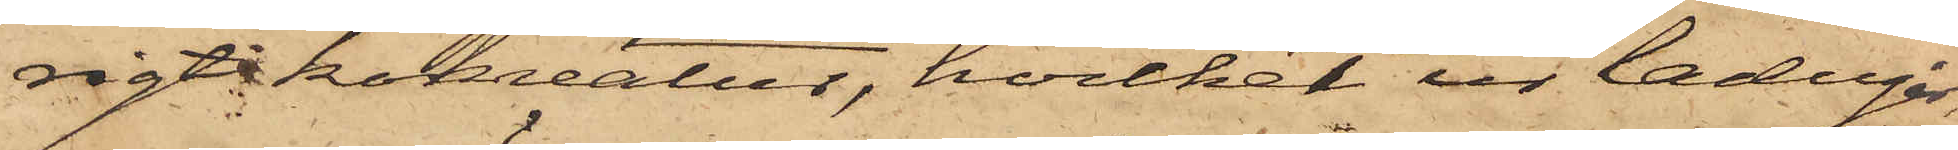rigt kokreatur, hvilket ur ladugår¬
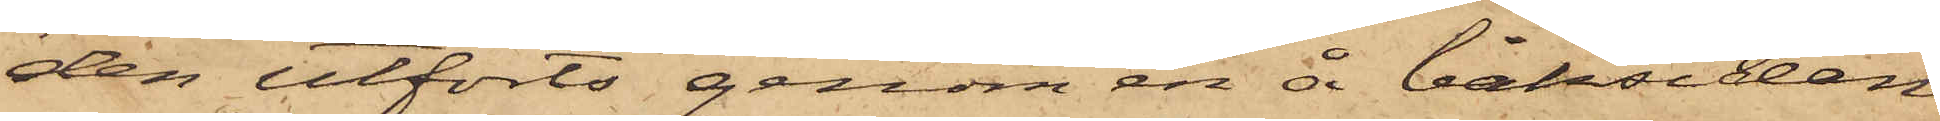den utförts genom en å baksidan
